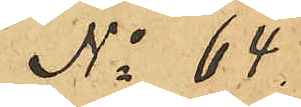No 64.
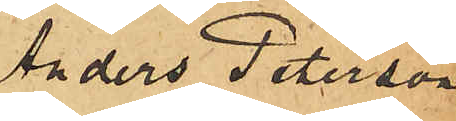Anders Peterson
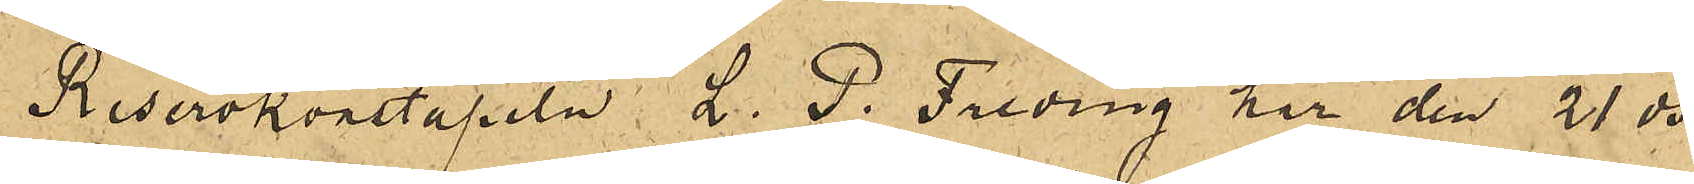Reservkonstapeln L. P. Freding har den 21 ds
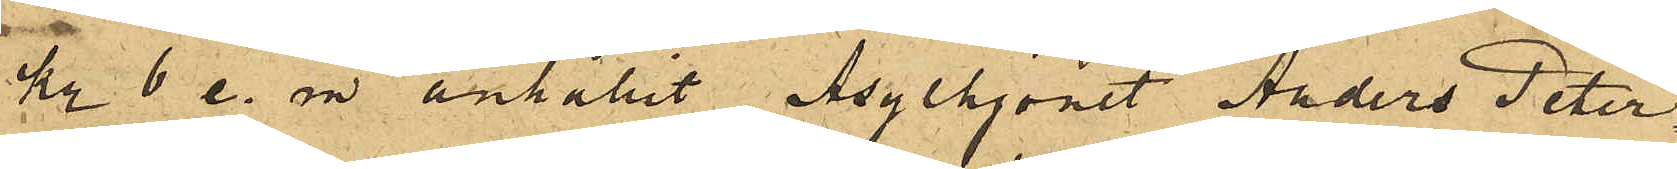kl 6 e. m. anhållit Asylhjonet Anders Peter¬
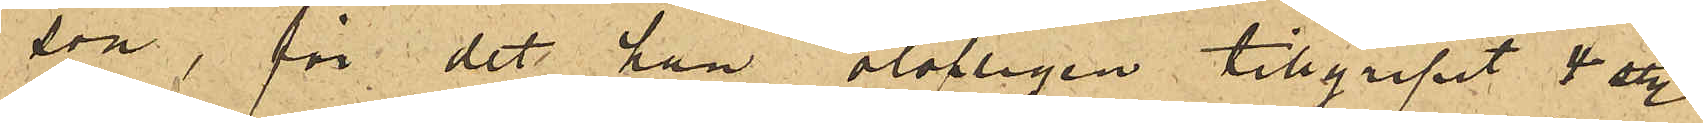son, för det han olofligen tillgripit 4 sty.
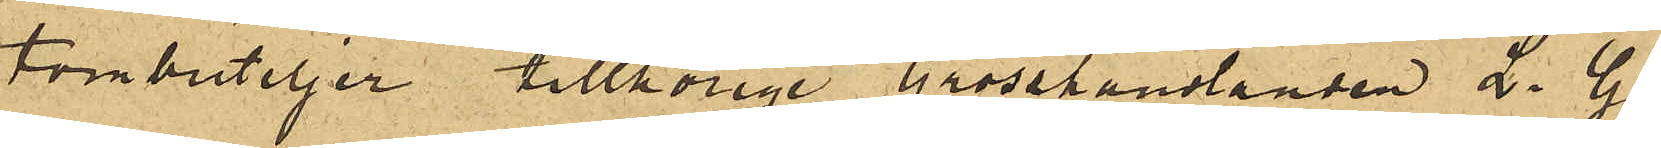tombuteljer tillhörige Grosshandlanden L. G.
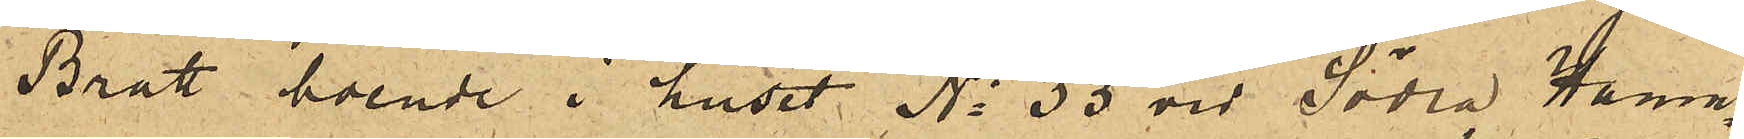Bratt boende i huset No 33 vid Södra Hamn¬
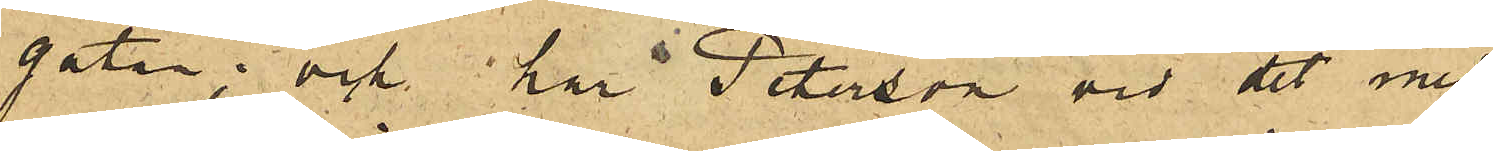gatan; och har Peterson vid det med
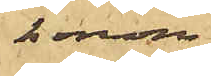honom
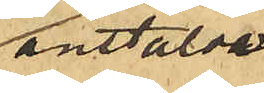anstälde
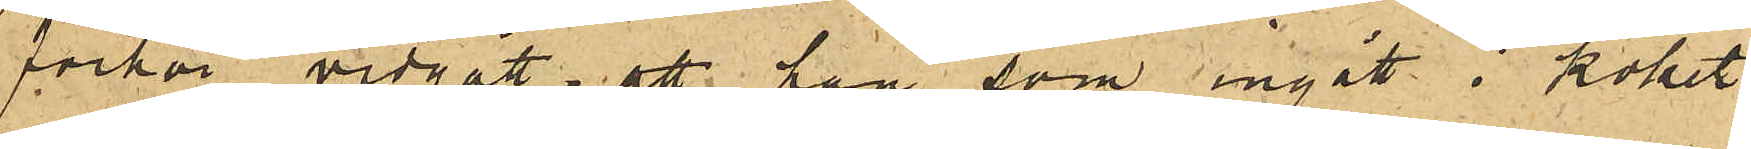förhör vidgått, att han som ingått i köket
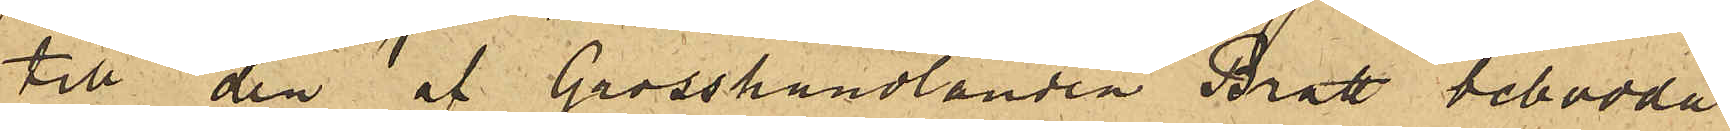till den af Grosshandlanden Bratt bebodda
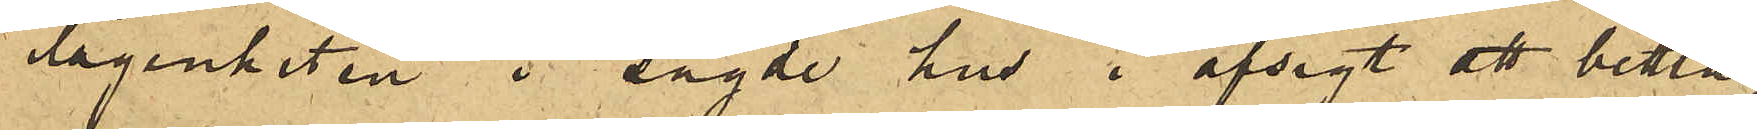lägenheten i sagde hus i afsigt att bettla,
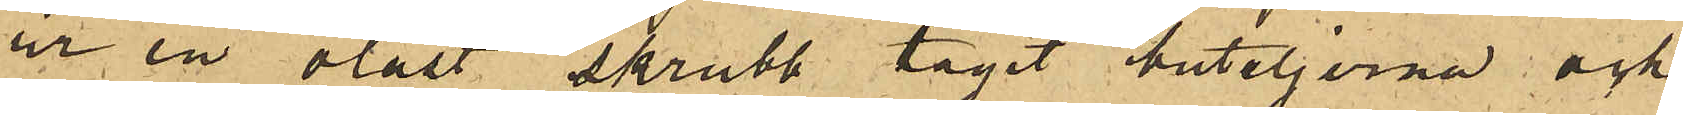ur en olåst skrubb tagit buteljerna och
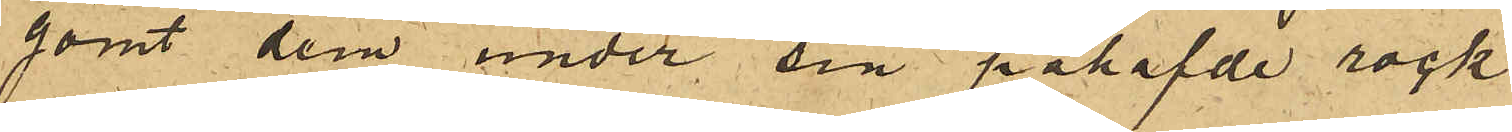gömt dem under sin påhafde rock
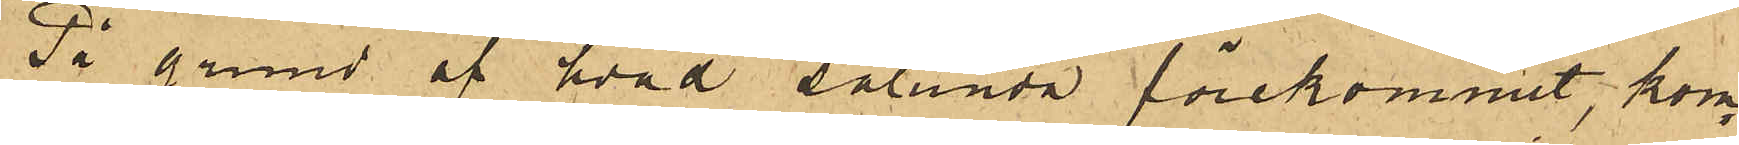På grund af hvad sålunda förekommit, kom¬
